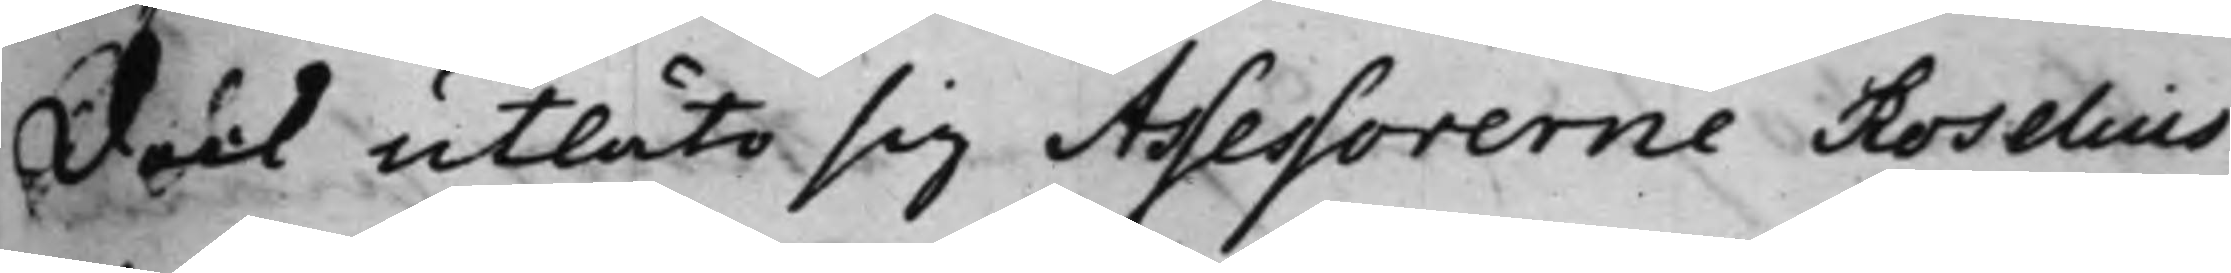Dock utläto sig Assessorerne Roselius
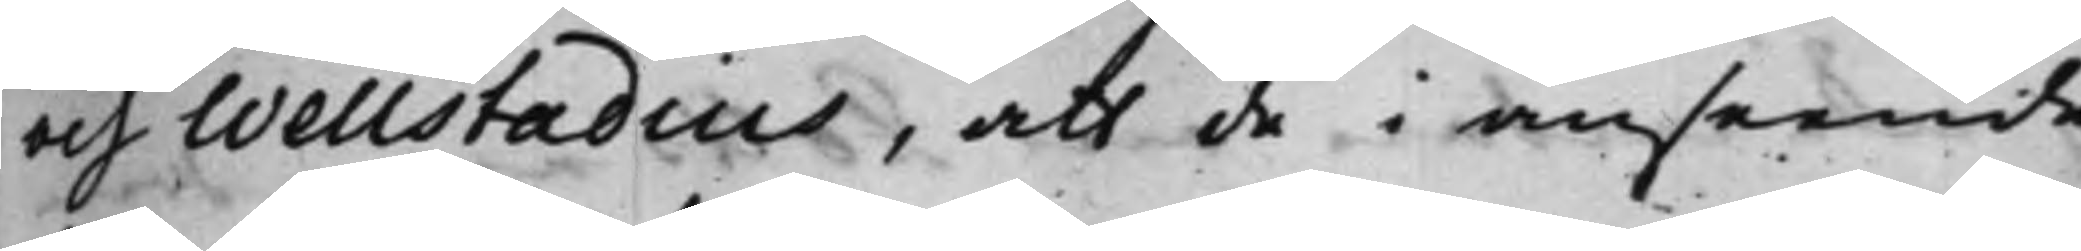och Wellstadius, att de i anseende
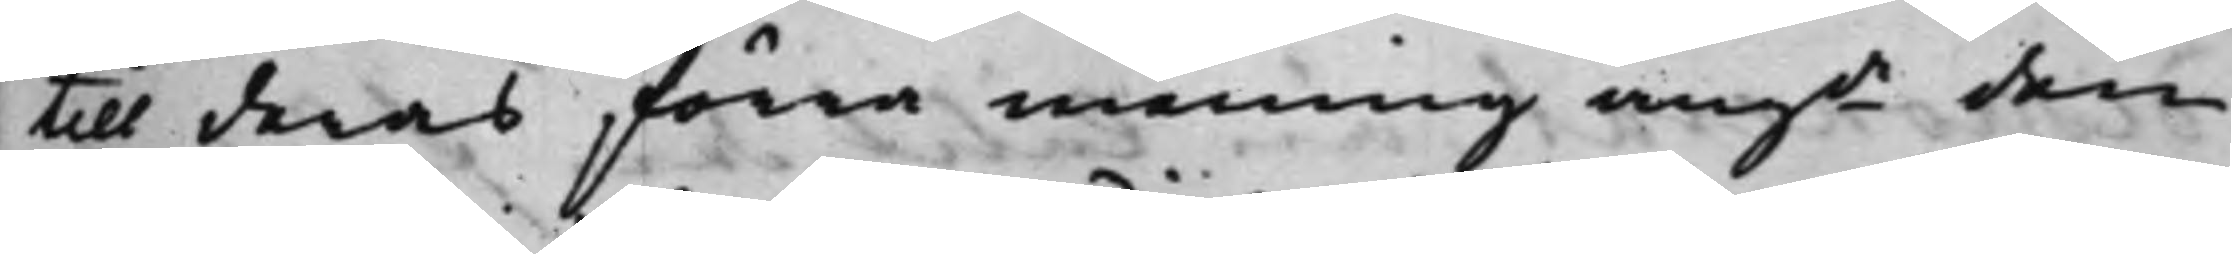till deras förra mening angde den
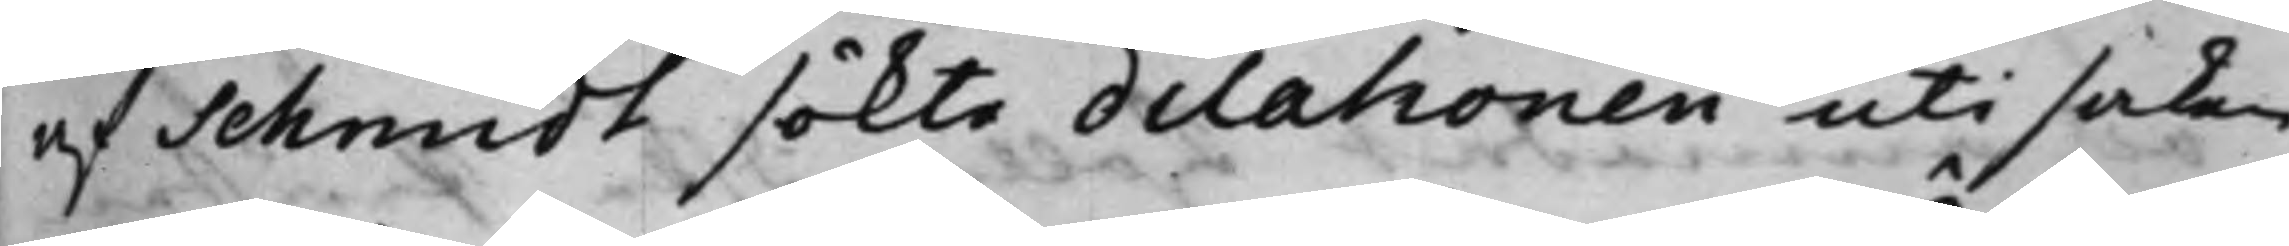af Schmidt sökte dilationen uti saken
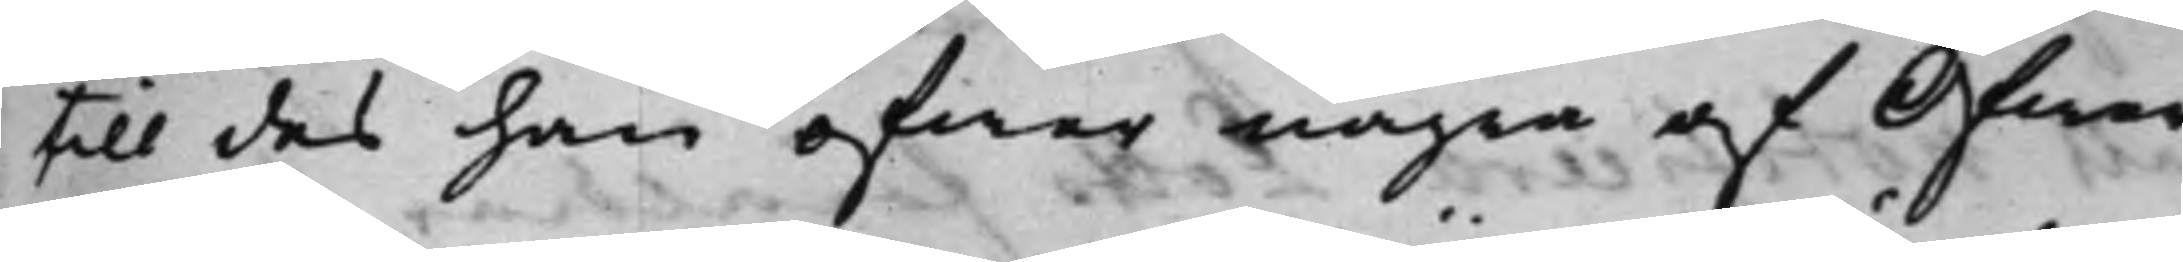till des han öfwer några af Öfwer¬
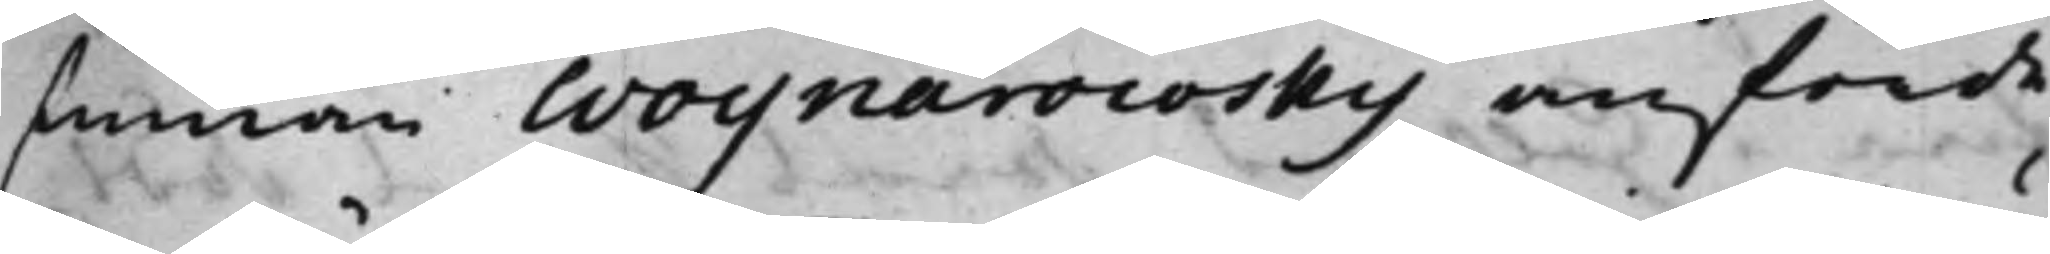stinnan Woynarowsky anförde
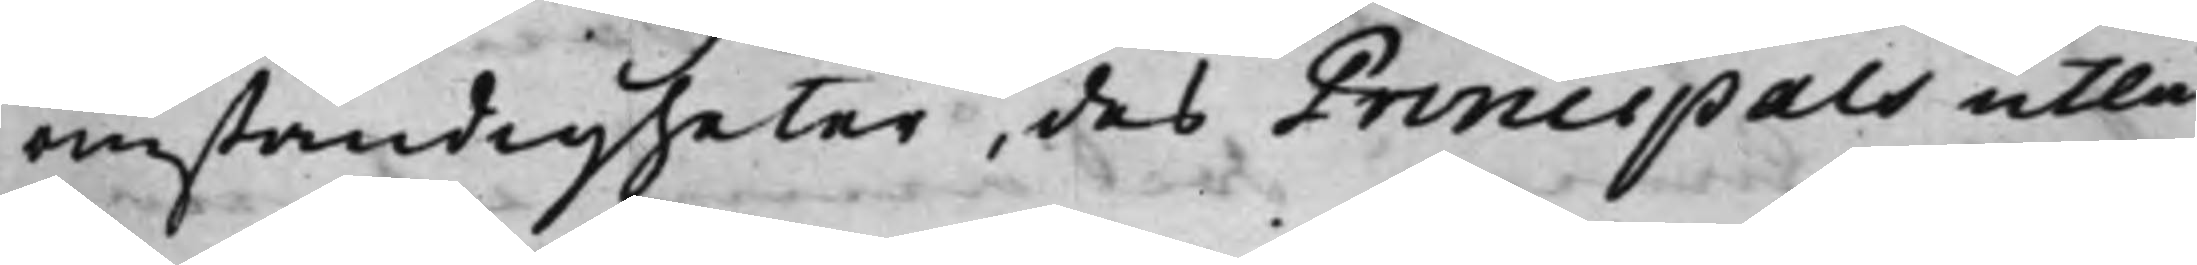omständigheter, des Principals utlå¬
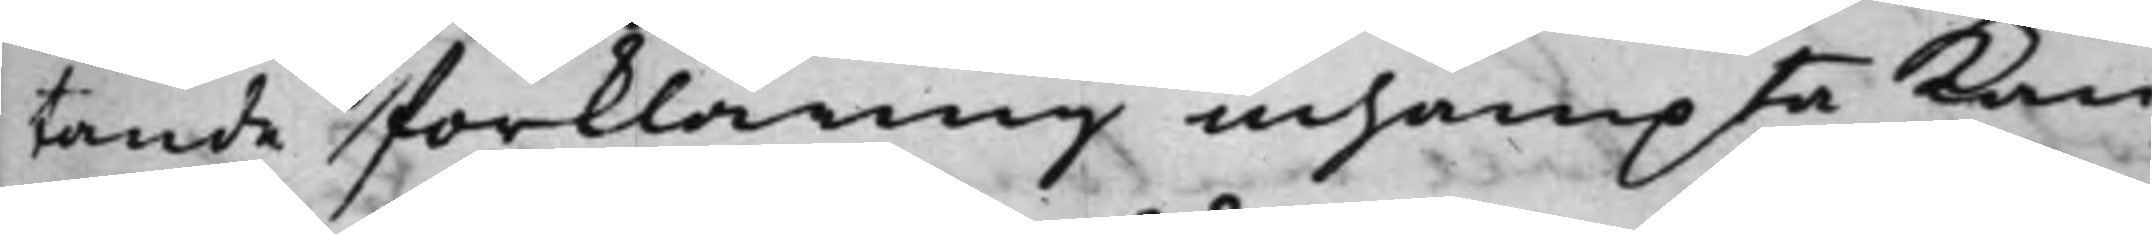tande förklaring inhämpta kan,
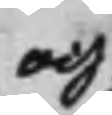och
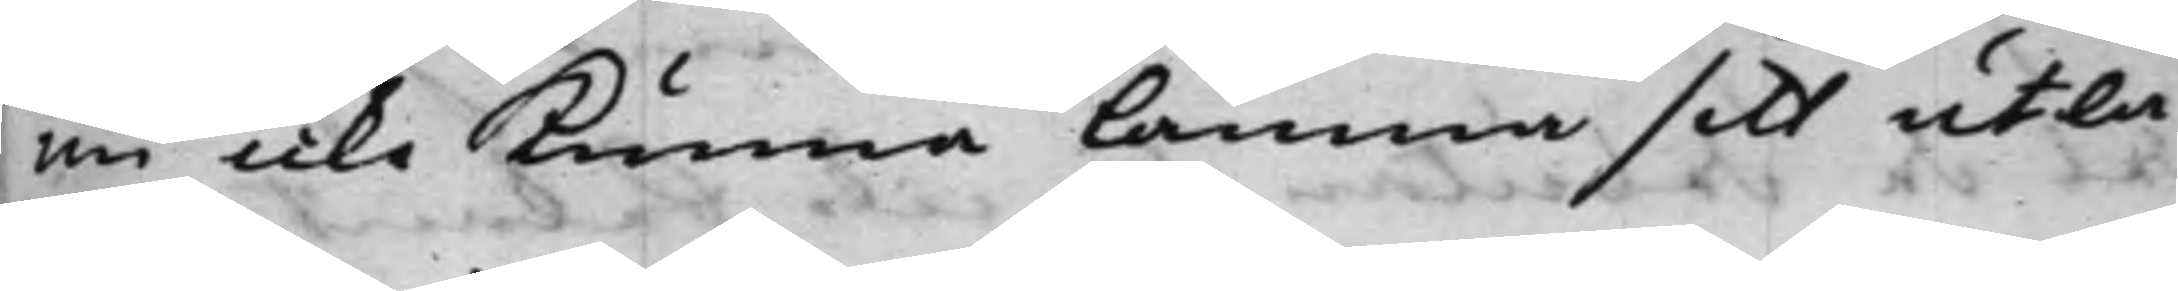nu icke kunna Lämna sitt utlå¬
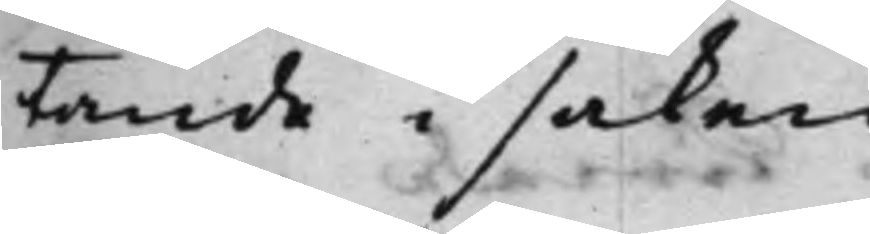tande i saken.
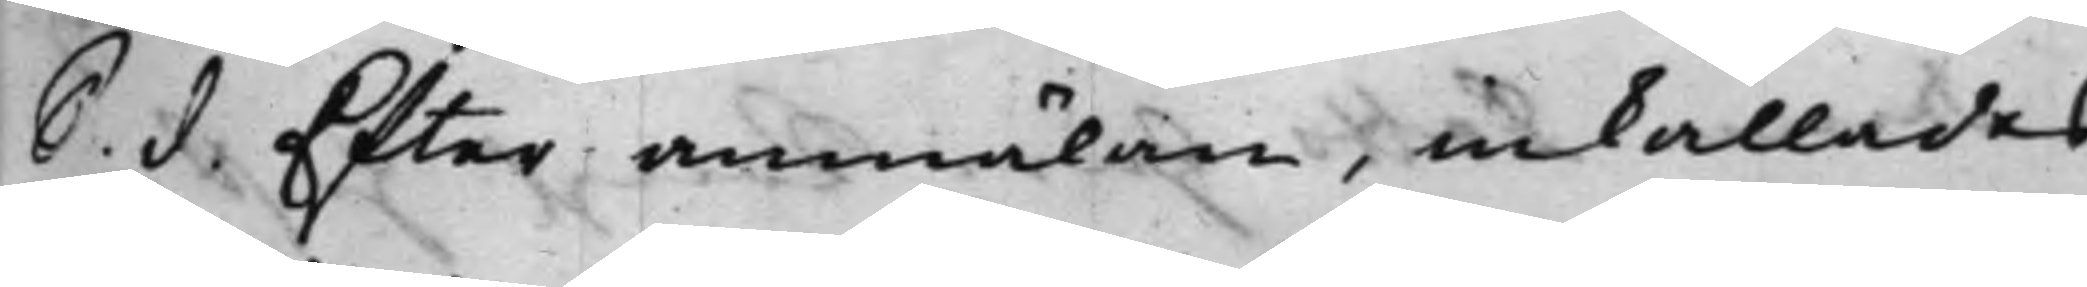S. d. Efter anmälan, inkallades
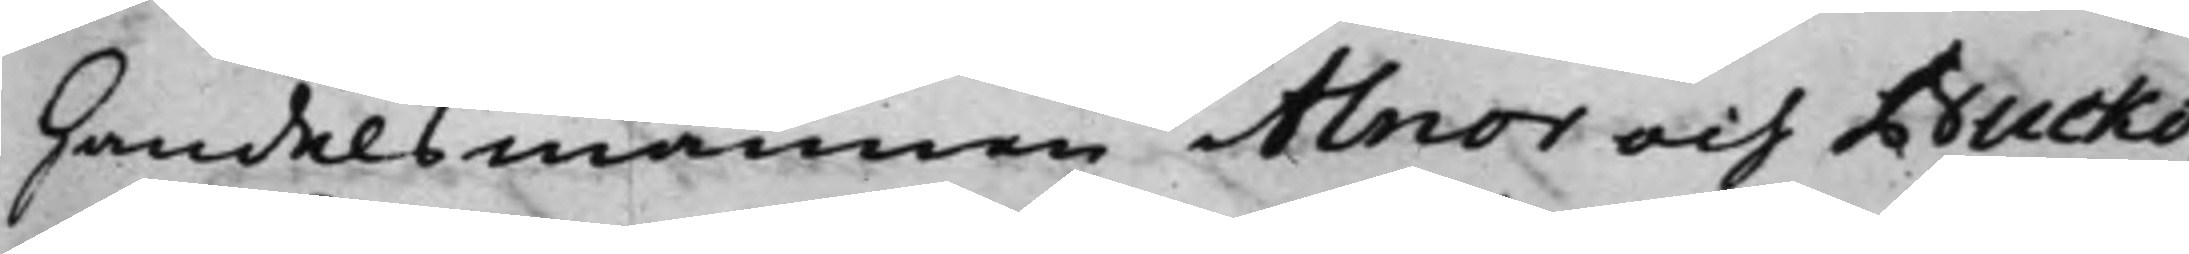Handelsmännen Alnor och Bucko,
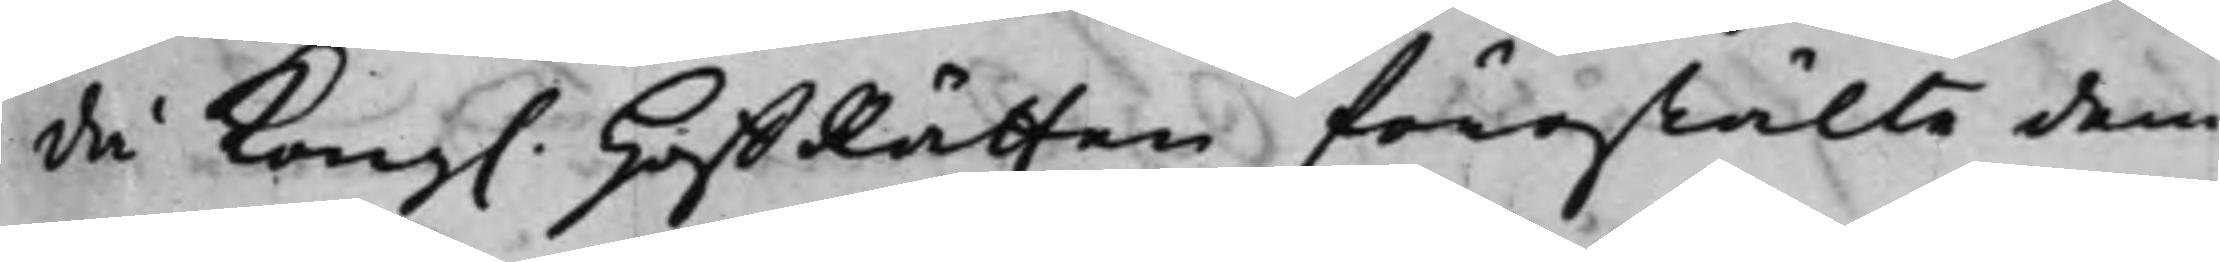då Kong. HoffRätten förestälte dem
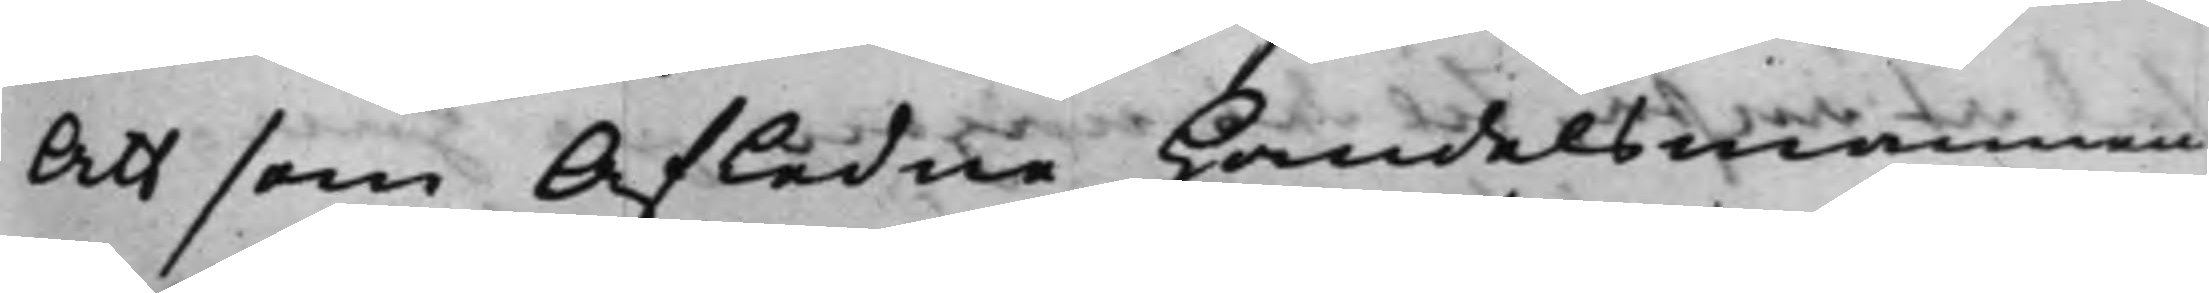Att som Afledne Handelsmannen
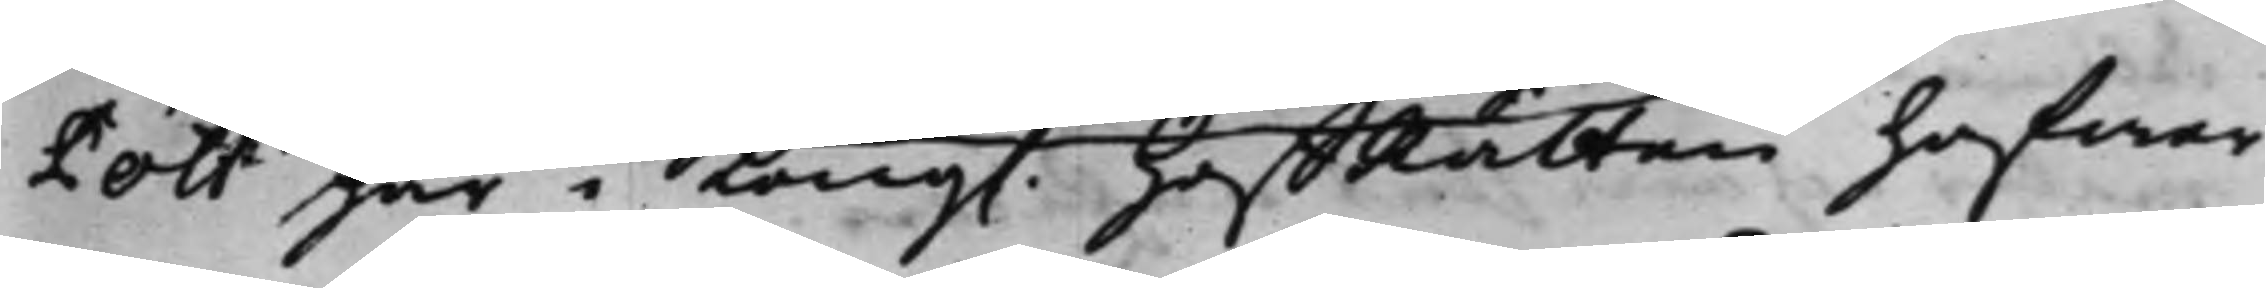Pott här i Kong. HoffRätten hafwer
